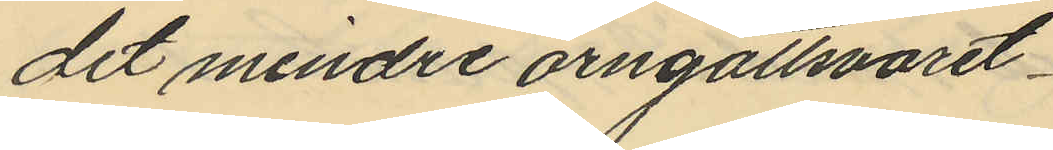det mindre örngottsvaret
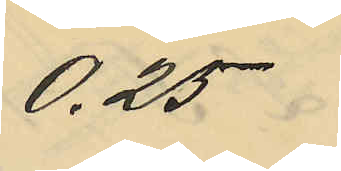0,25
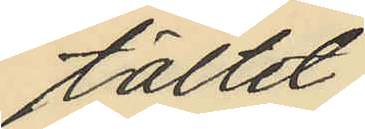tältet
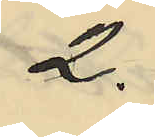2.
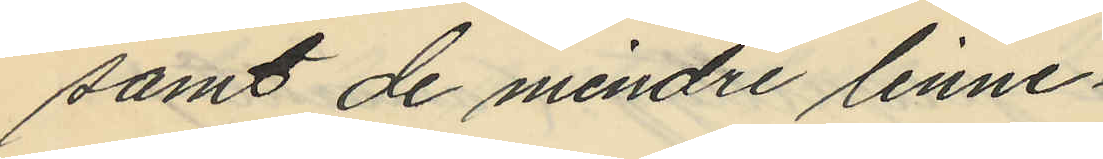samt de mindre linne¬
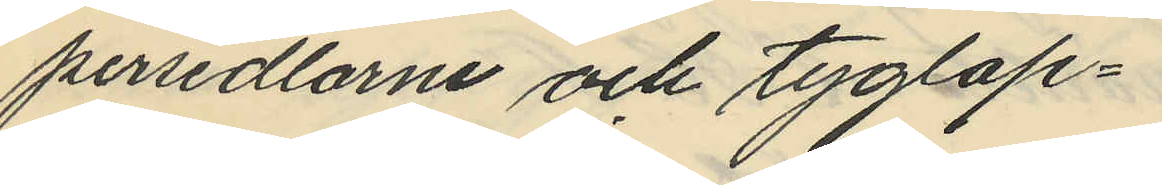persedlarne och tyglap¬
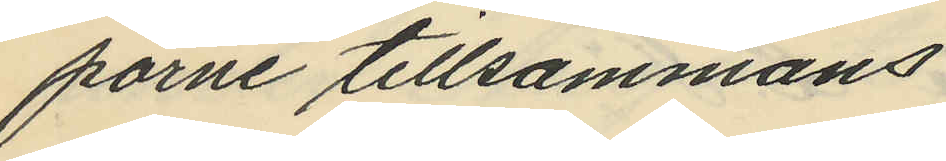parne tillsammans
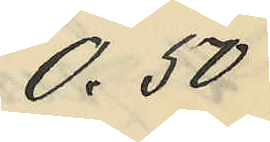0,50
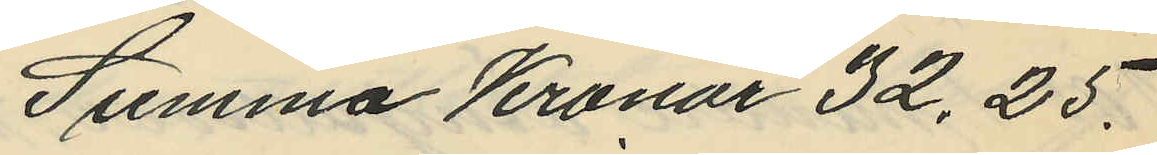Summa Kronor 32.25.
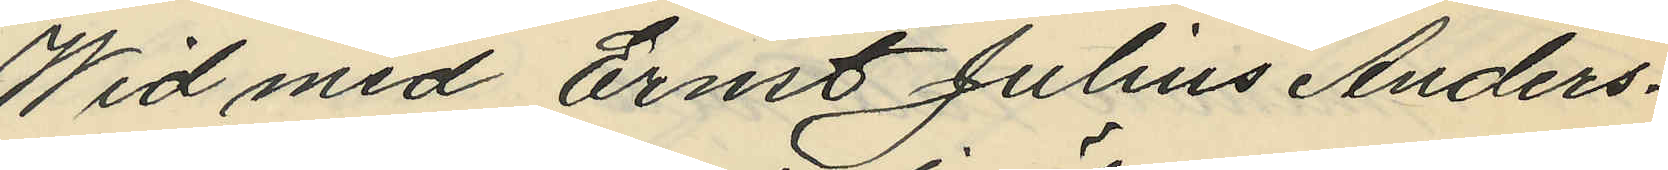Wid med Ernst Julius Anders¬
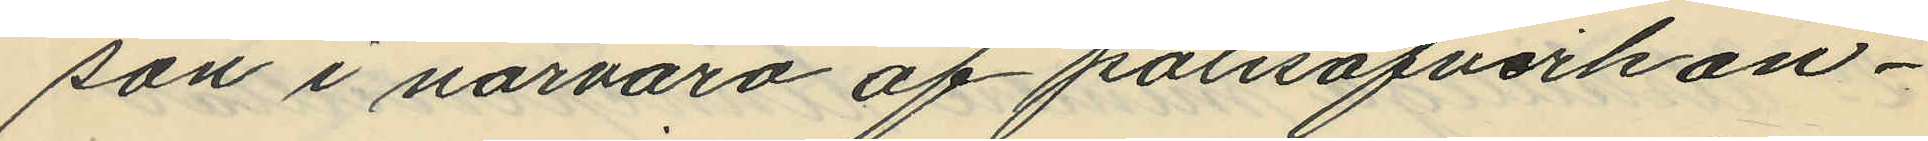son i närvaro af polisöfverkon¬
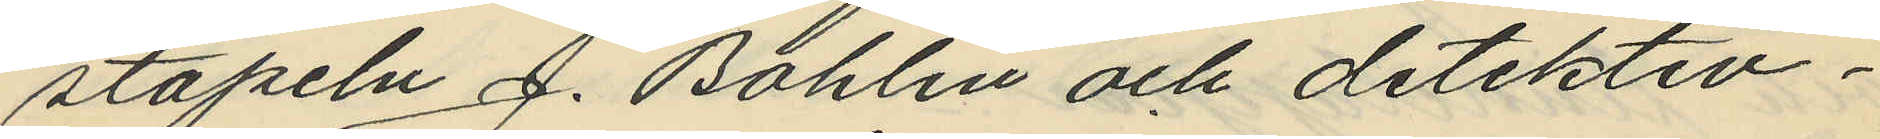stapeln J. Bohlin och detektiv¬
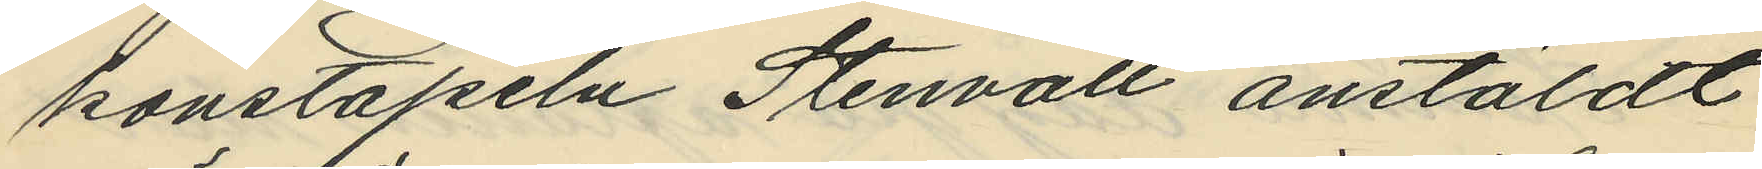konstapeln Stenvall anstäldt
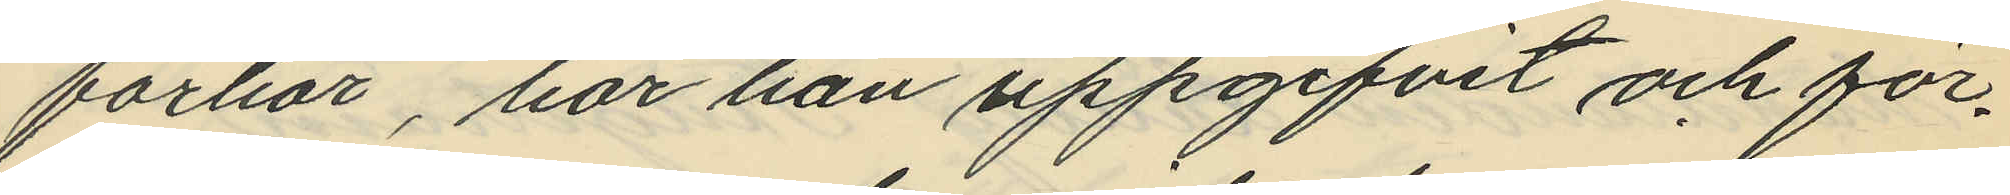förhör, har han uppgifvit och för¬
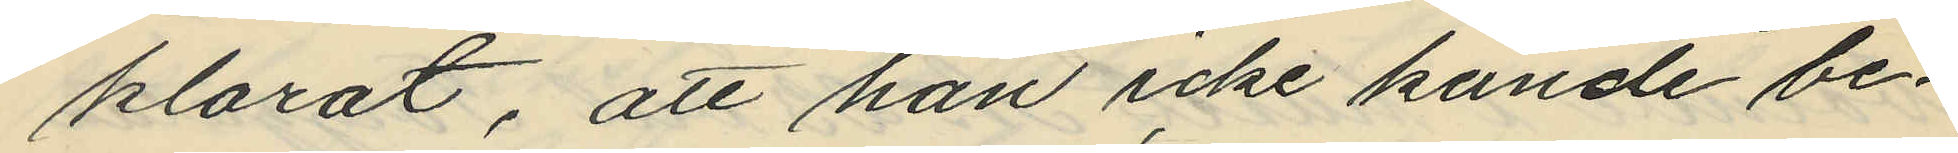klarat, att han icke kunde be¬
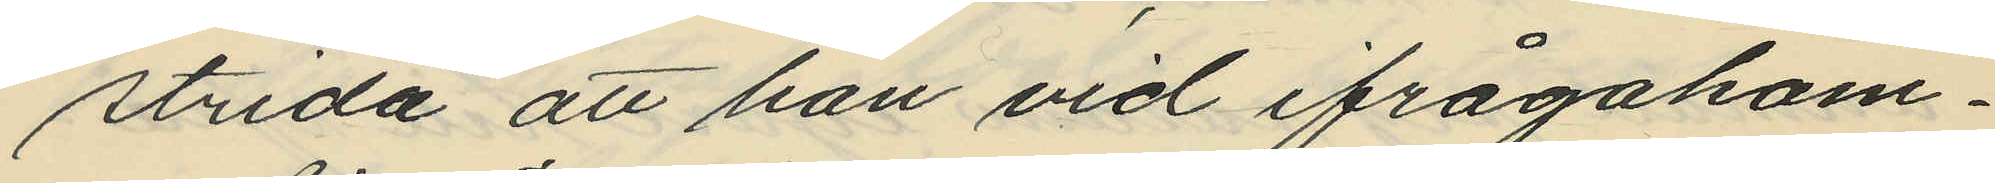strida att han vid ifrågakom¬
